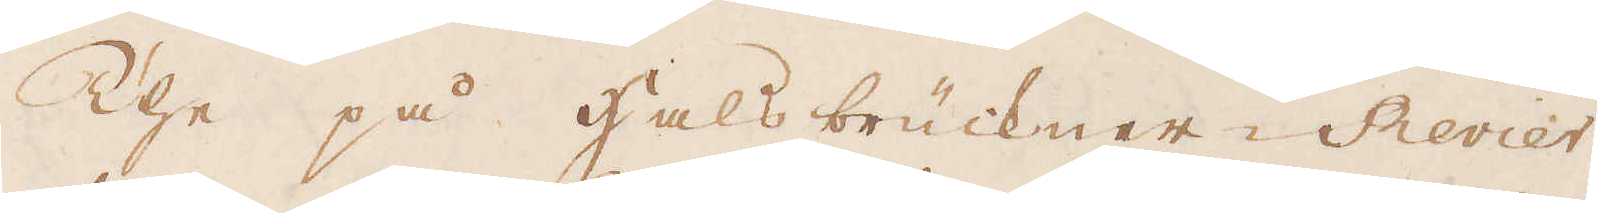The på hals brückner- Revier
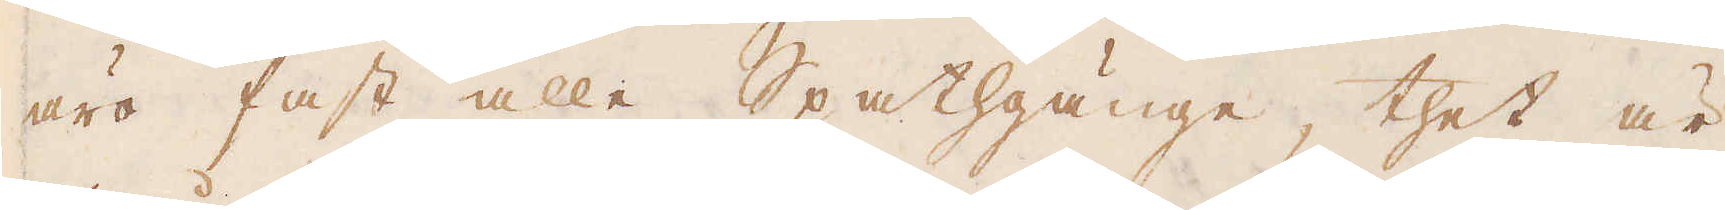äro fast alle Spathgänge, thet är
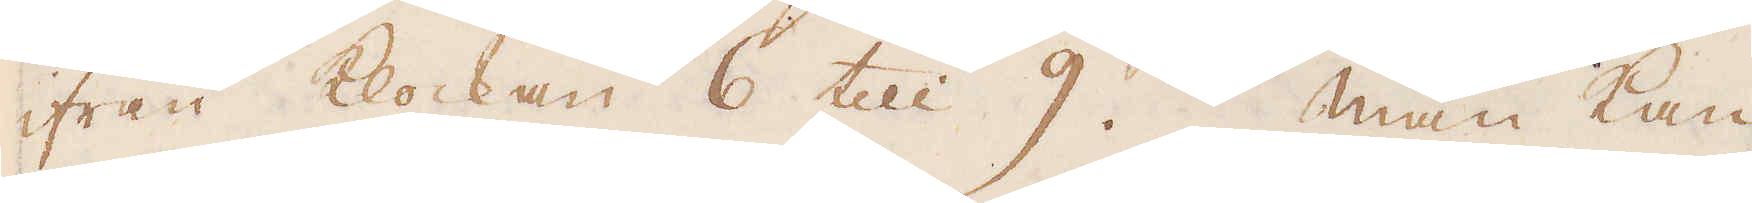ifrån klockan 6 till 9. Man kan
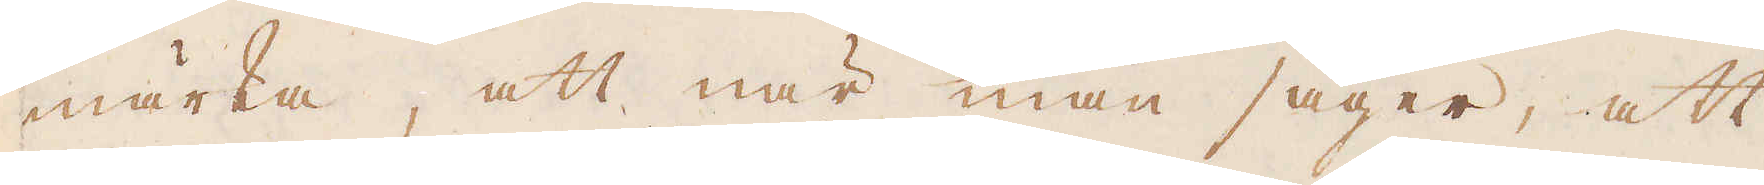märka, att när man säger, att
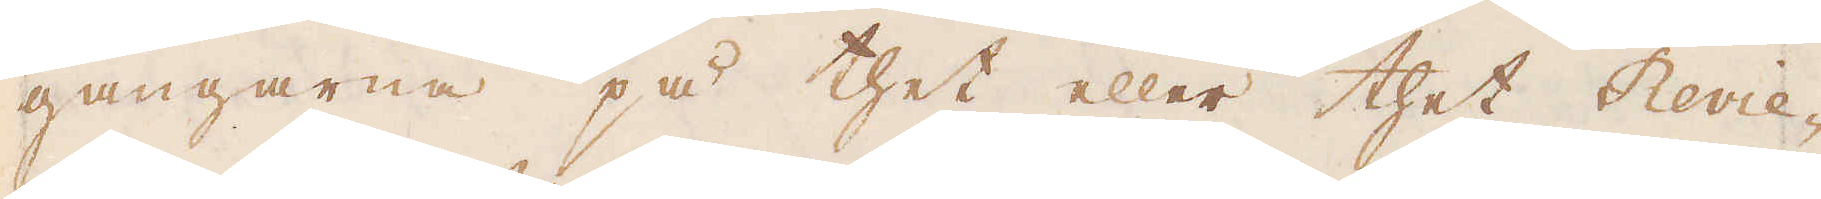gångarne på thet eller thet Revie-
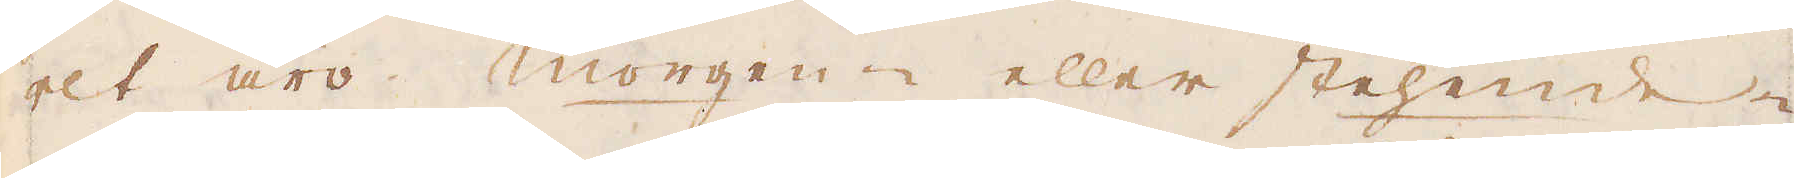ret äro Morgen- eller stehenden
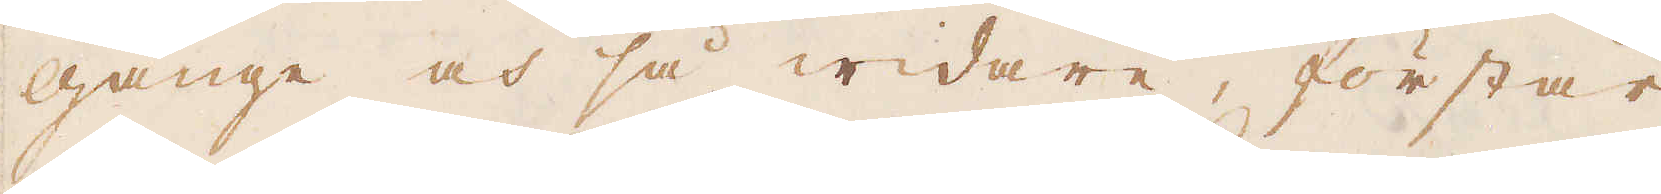gånge och så widare, förstår
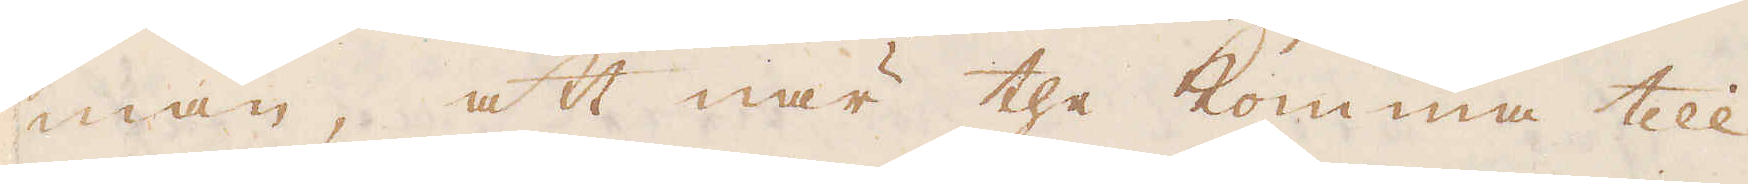man, att när the komma till
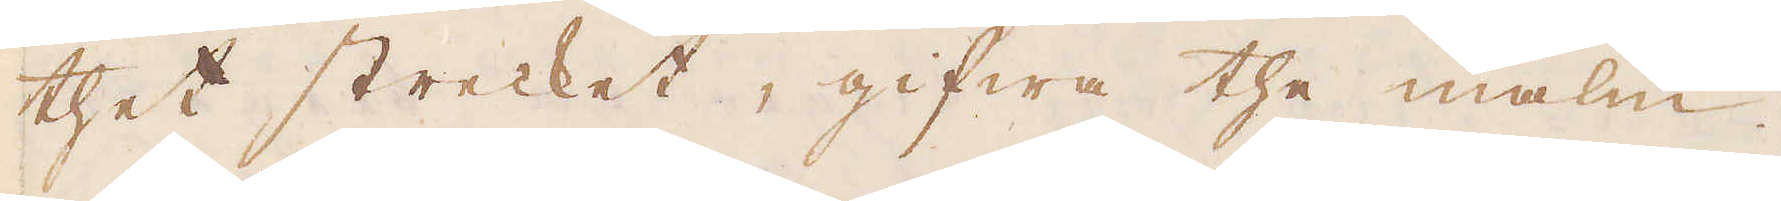thet strecket, gifwa the malm.
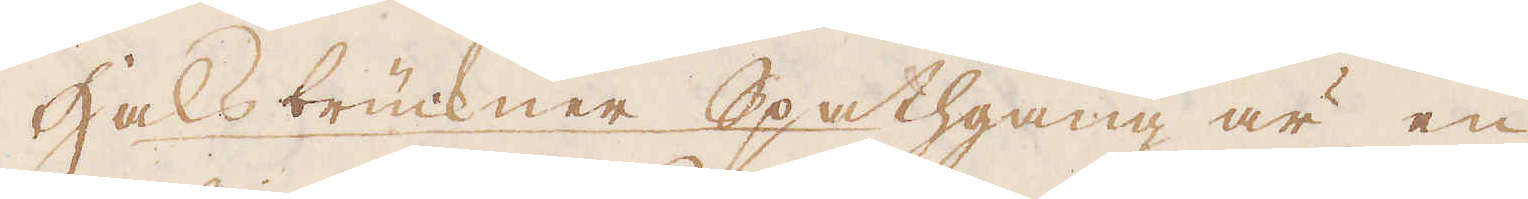Halsbrückner Spathgang är en
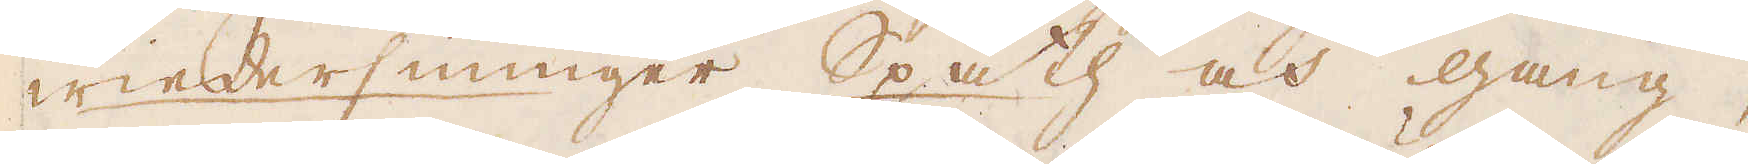wiedersinniger Spath och gang,
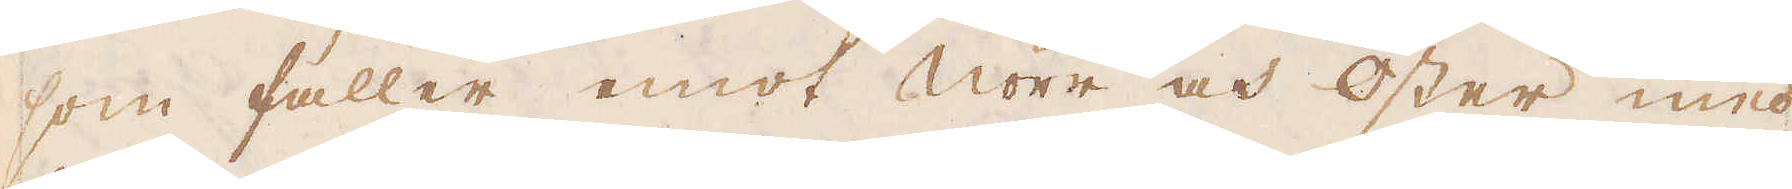som faller emot Norr och Öster med
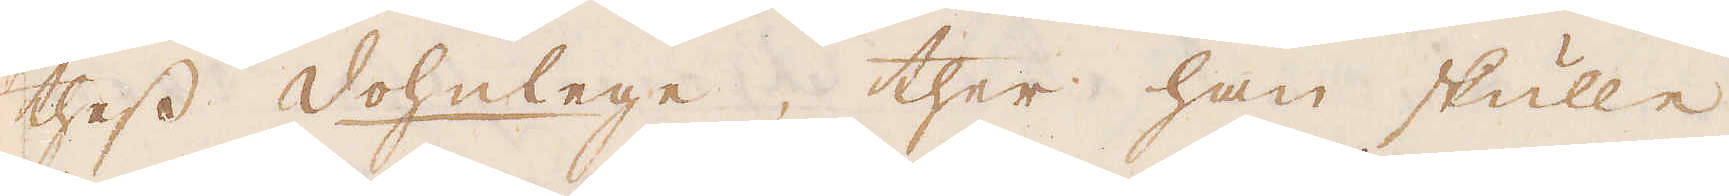thess dohnlege, ther han skulle
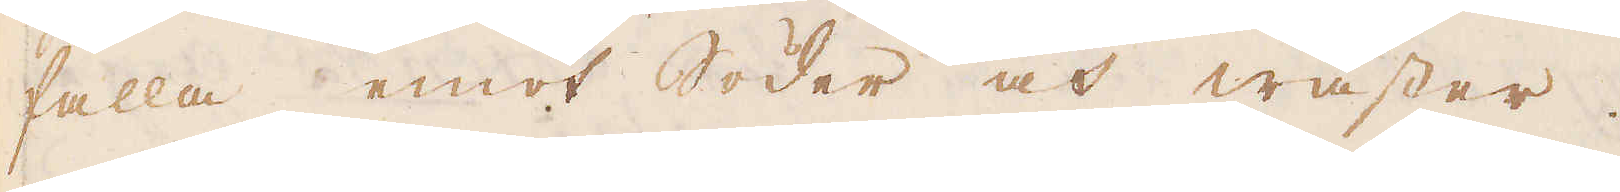falla emot Söder och wäster.
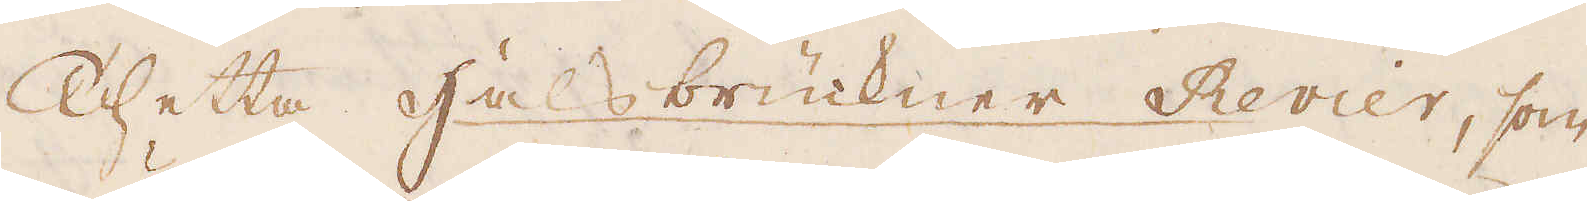Thetta halsbrückner Revier, som
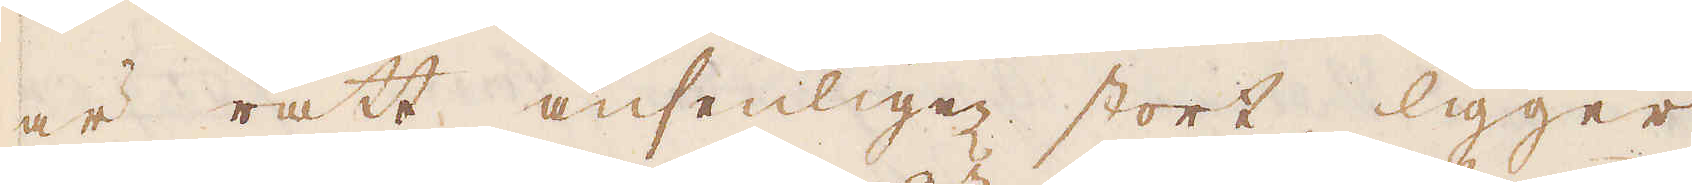är rätt ansenligen stort, ligger
